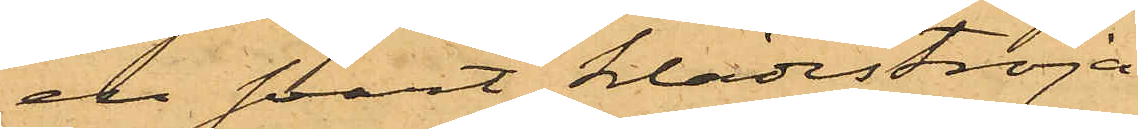en svart klädeströja
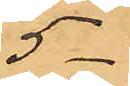5 -
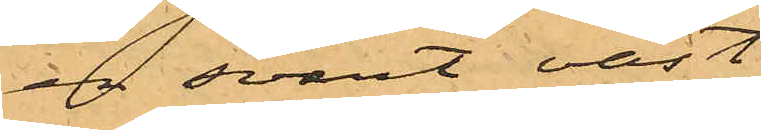en svart väst
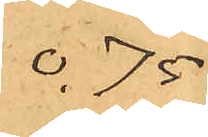0,75
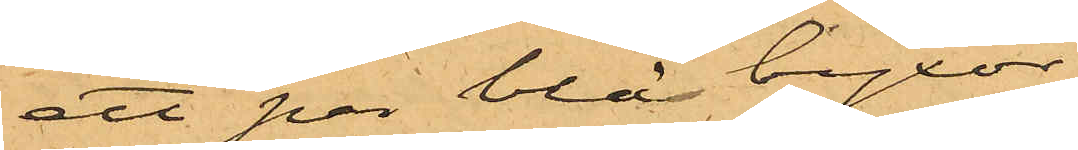ett par blå byxor
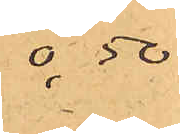0,50
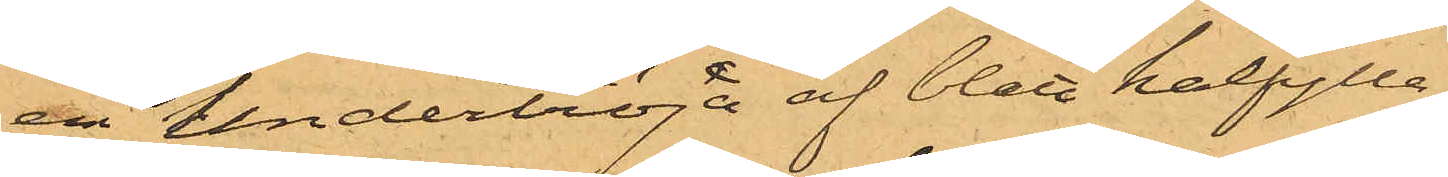en undertröja af blått halfylle
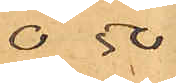0,50
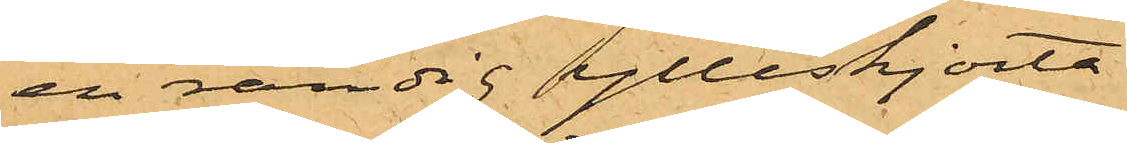en randig ylleskjorta
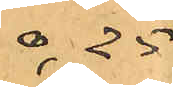0,25
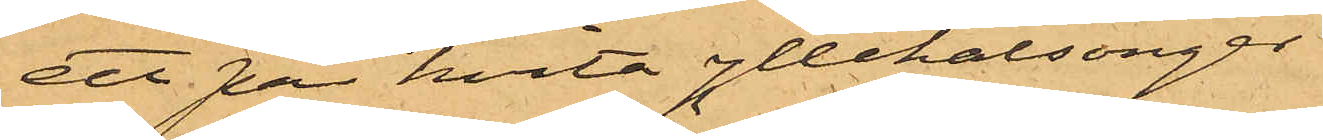ett par hvita yllekalsonger
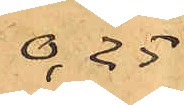0,25
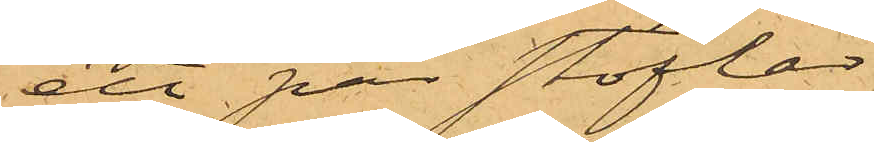ett par stöflar
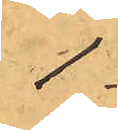1-
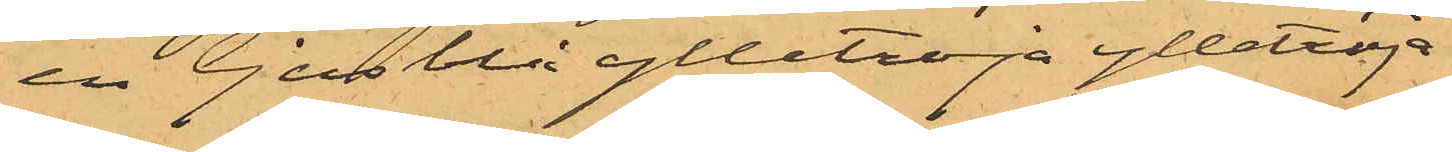en ljusblå ylletröja ylletröja
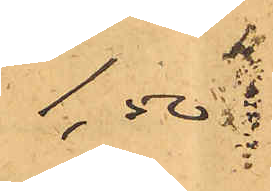1,50
